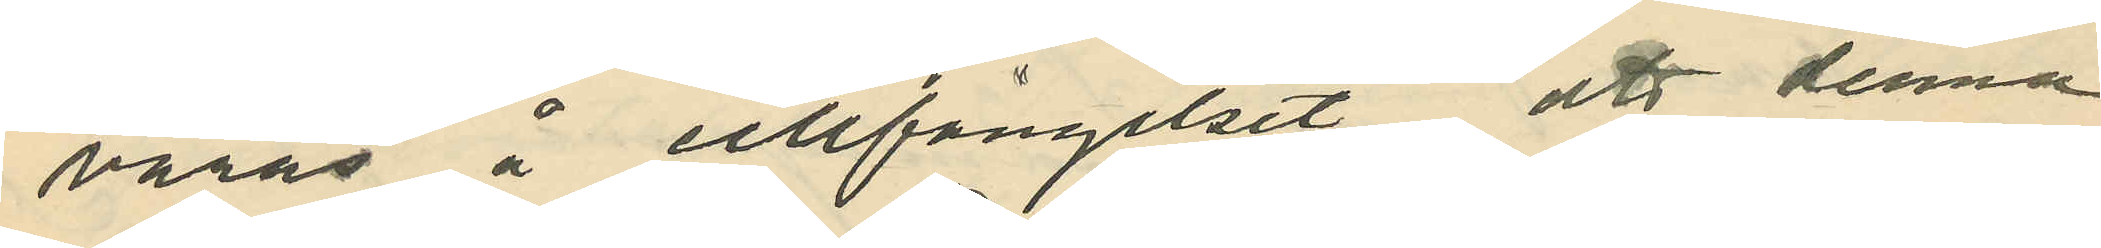varas å cellfängelset att denna
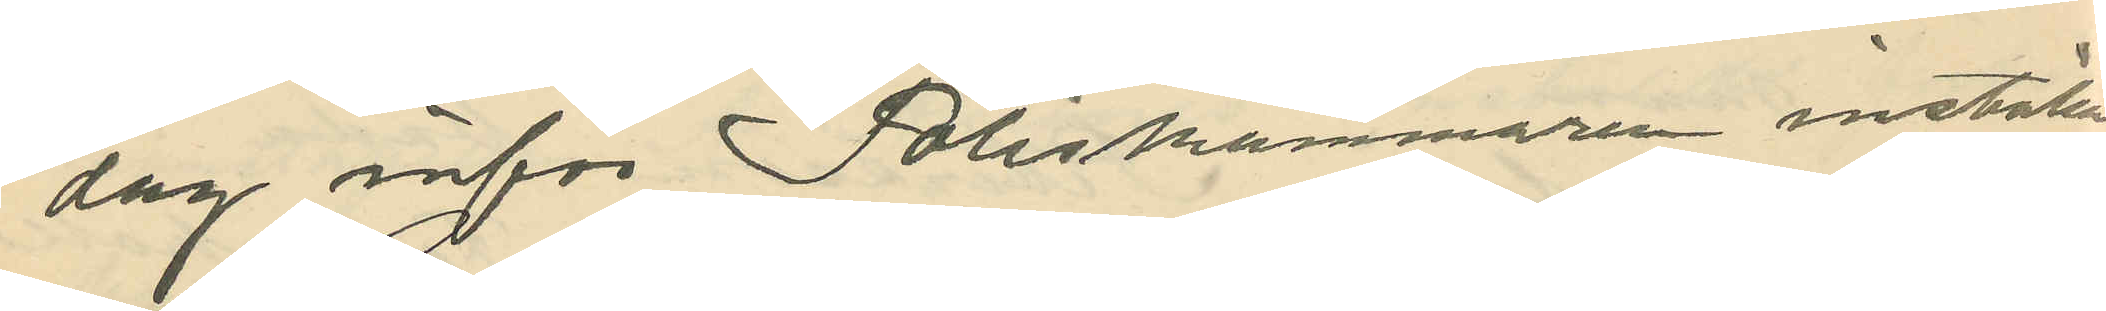dag inför Poliskammaren inställas.
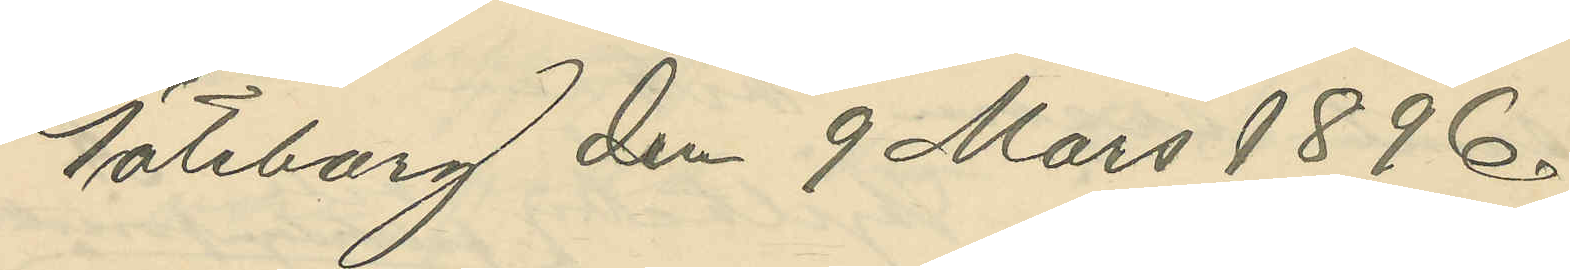Göteborg den 9 Mars 1896.
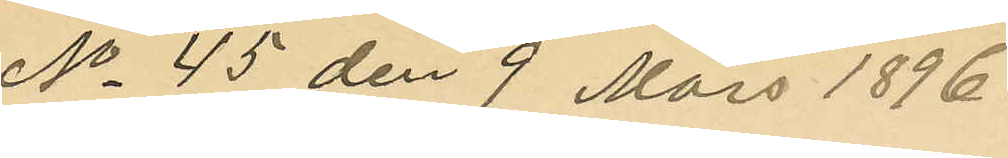No 45 den 9 Mars 1896.
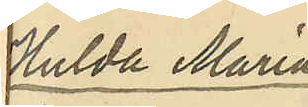Hulda Maria
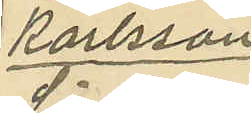Karlsson
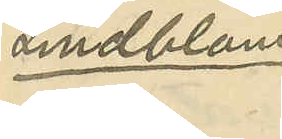Lindblom
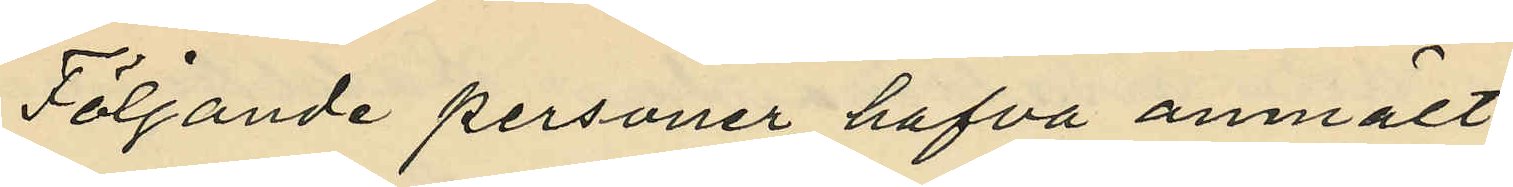Följande personer hafva anmält:
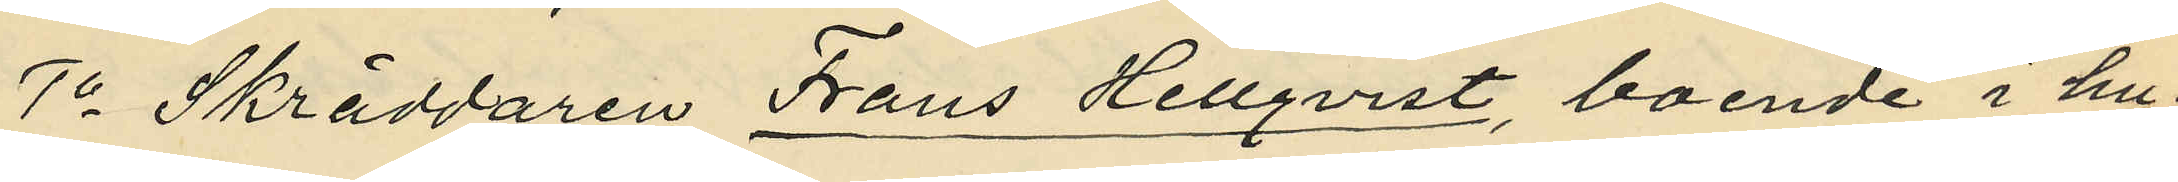1o Skräddaren Frans Hellqvist, boende i hu¬
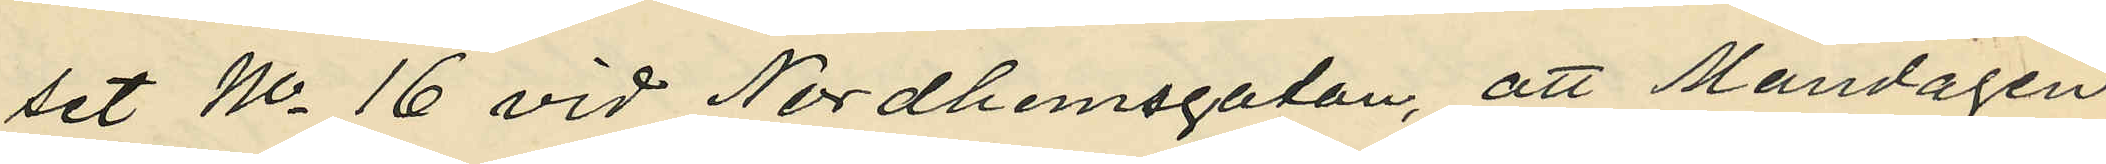set No 16 vid Nordhemsgatan, att Måndagen
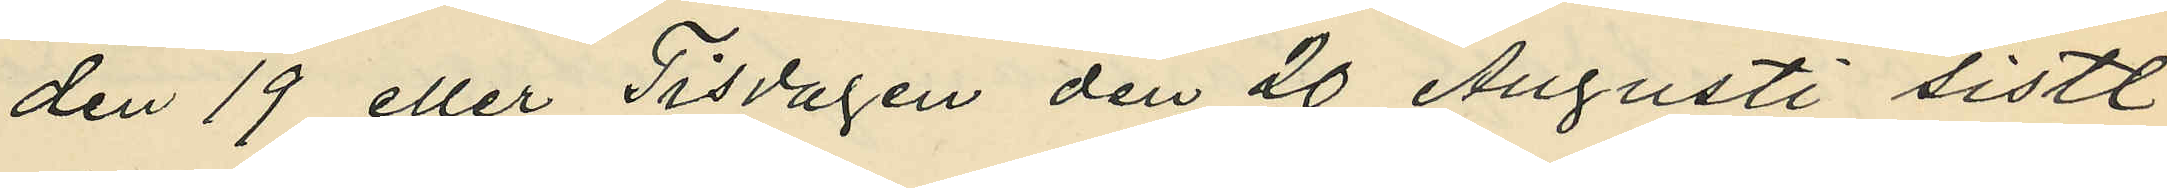den 19 eller Tisdagen den 20 Augusti sistl.
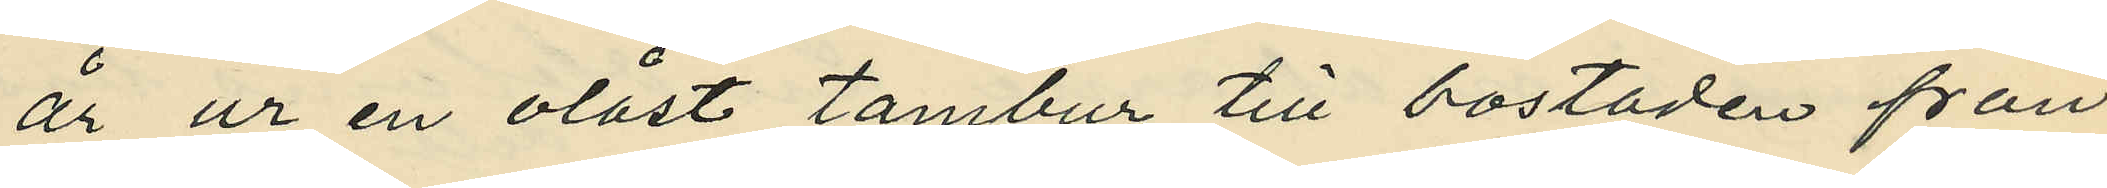år ur en olåst tambur till bostaden från
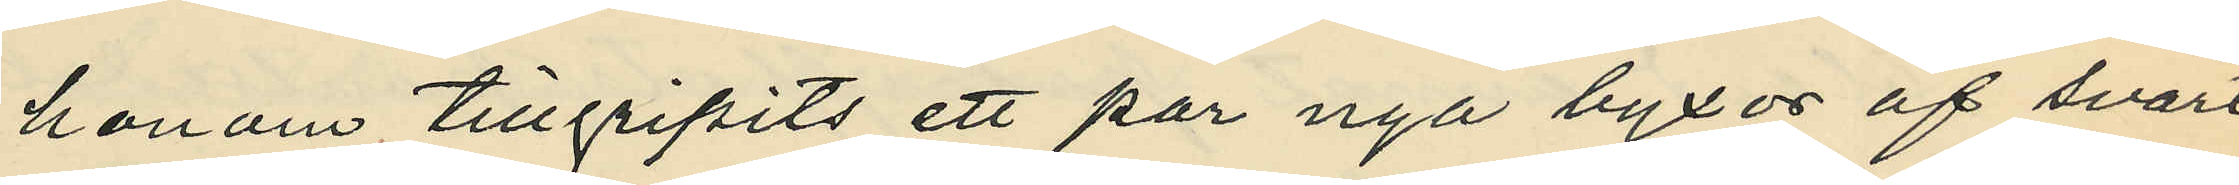honom tillgripits ett par nya byxor af svart
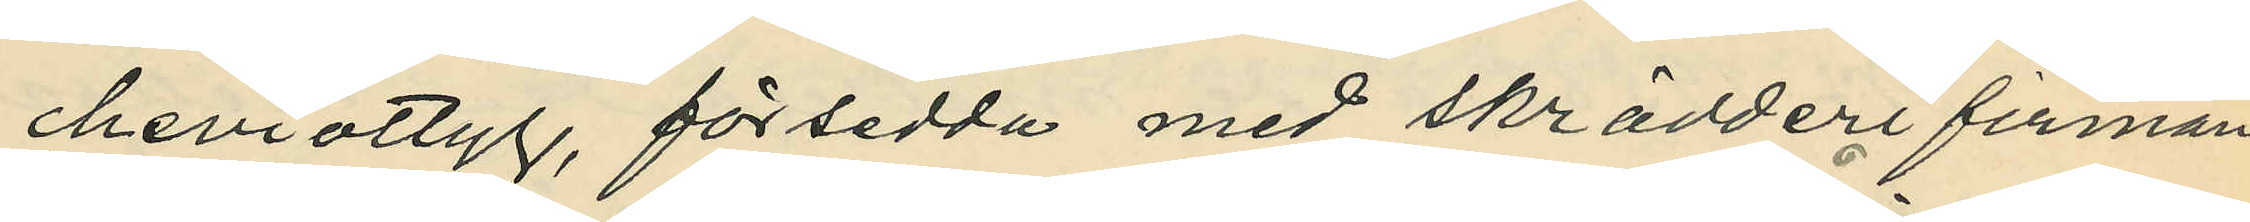cheviottyg, försedda med skrädderifirman
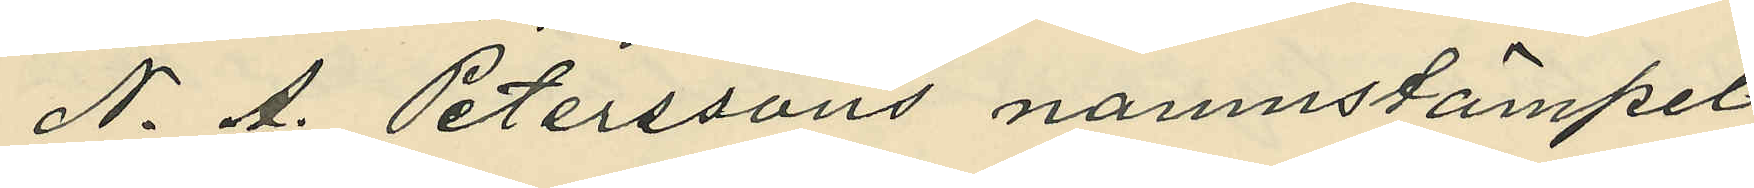N. A. Peterssons namnstämpel
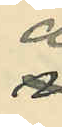å
